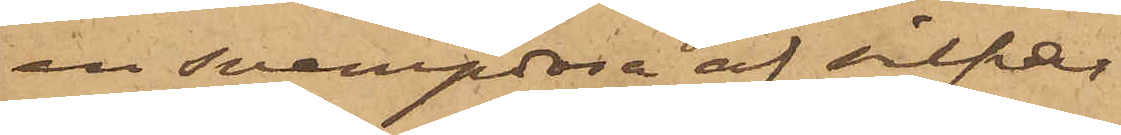en svampdosa af silfver
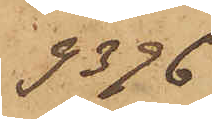9396
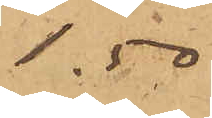1,50
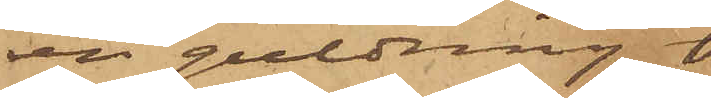en guldring
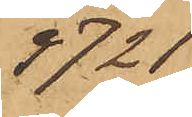9721
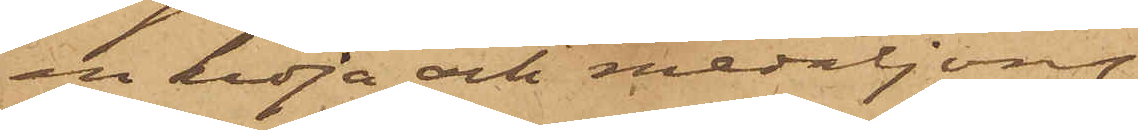en kedja och medaljong
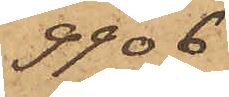9906
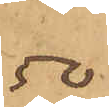.50
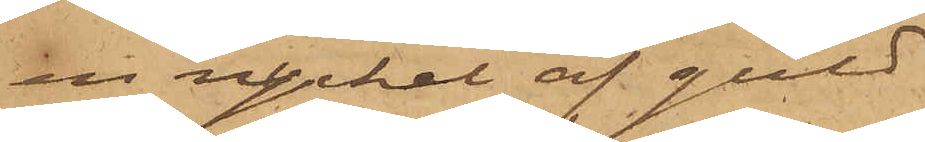en nyckel af guld
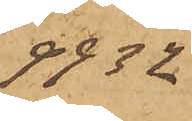9932
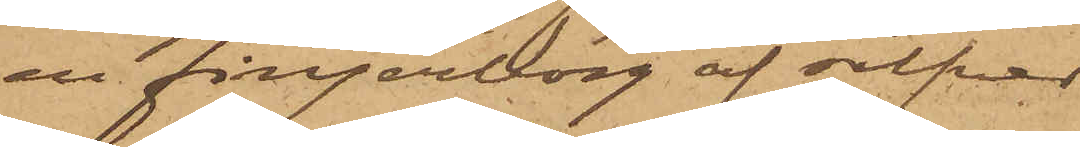en fingerborg af silfver
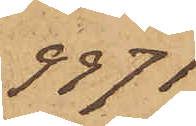9971
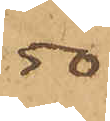.50
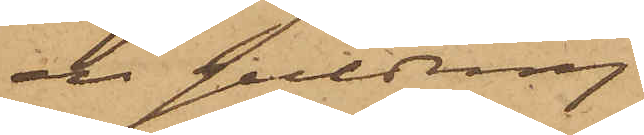en guldring
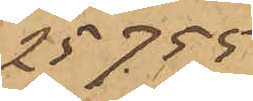25755
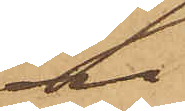en do
